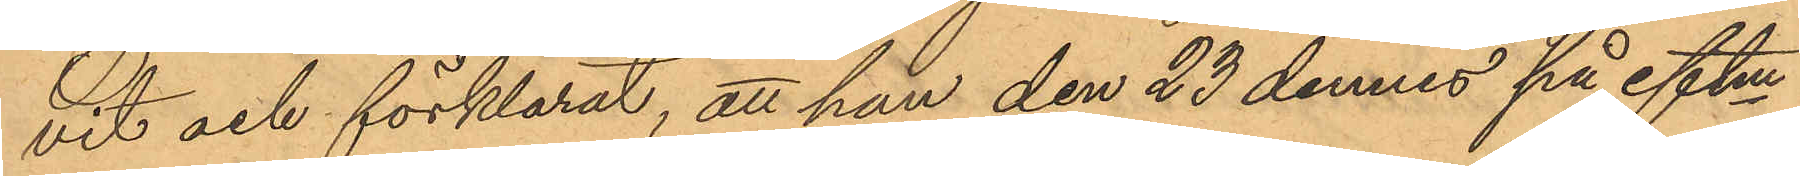vit och förklarat, att han den 23 dennes på eftm
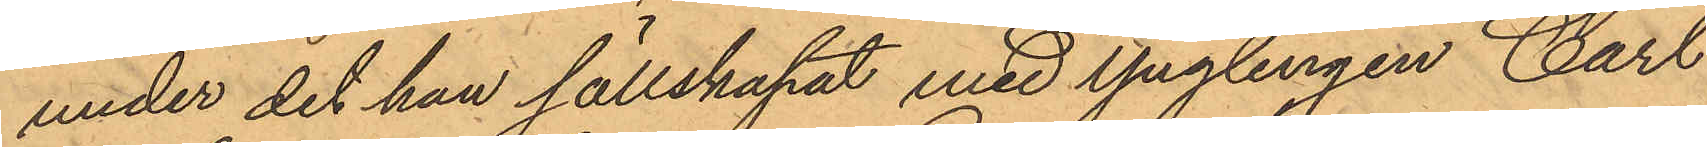under det han sällskapat med ynglingen Carl
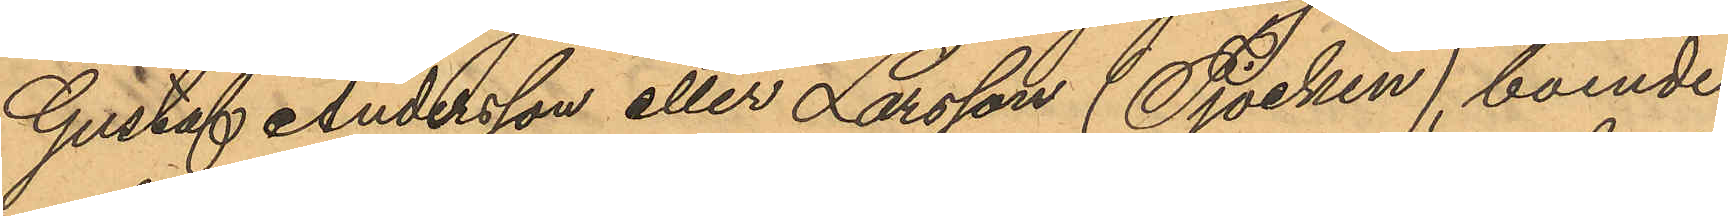Gustaf Andersson eller Larsson (Tjocken), boende
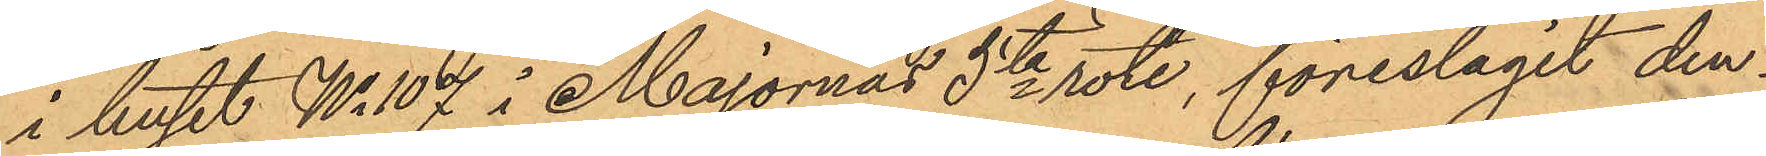i huset No 107 i Majornas 5te rote, föreslagit den¬
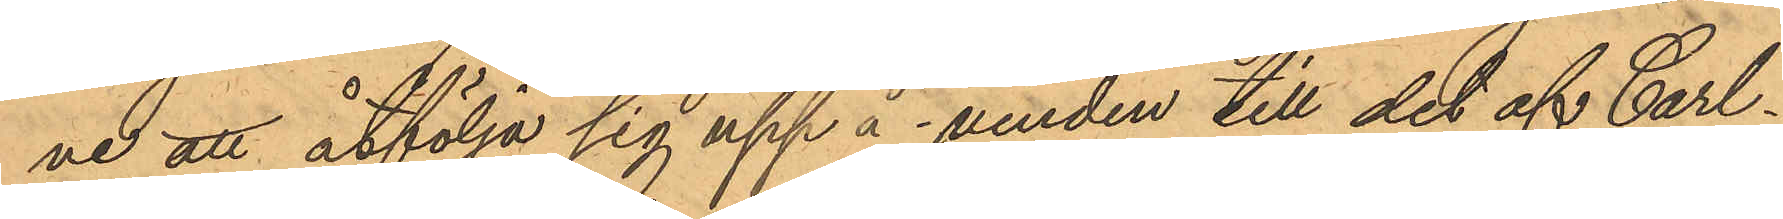ne att åtfölja sig upp å vinden till det af Carl¬
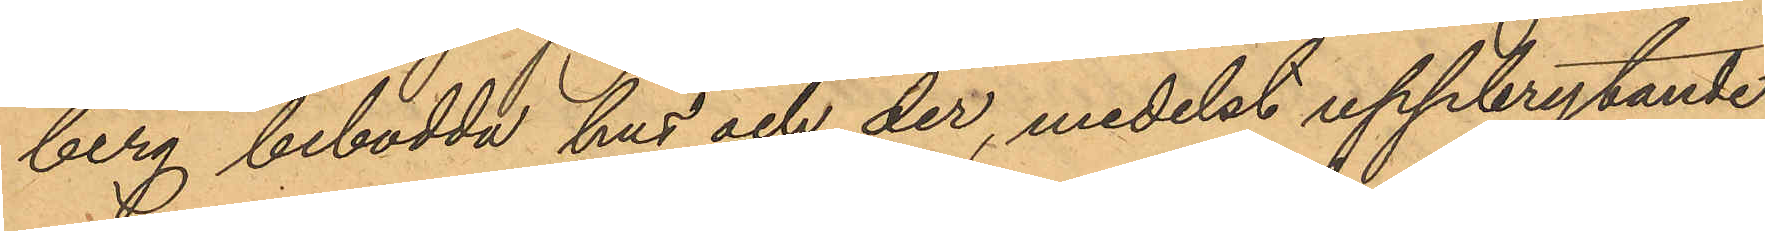berg bebodda hus och der, medelst uppbrytande
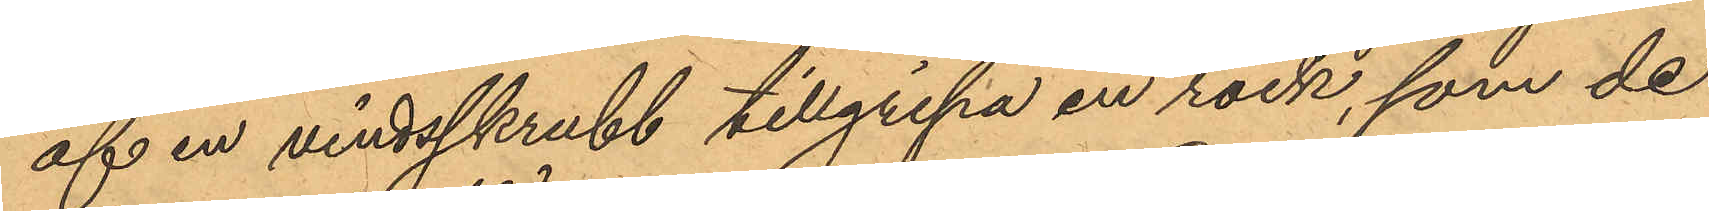af en vindsskrubb tillgripa en rock, som de
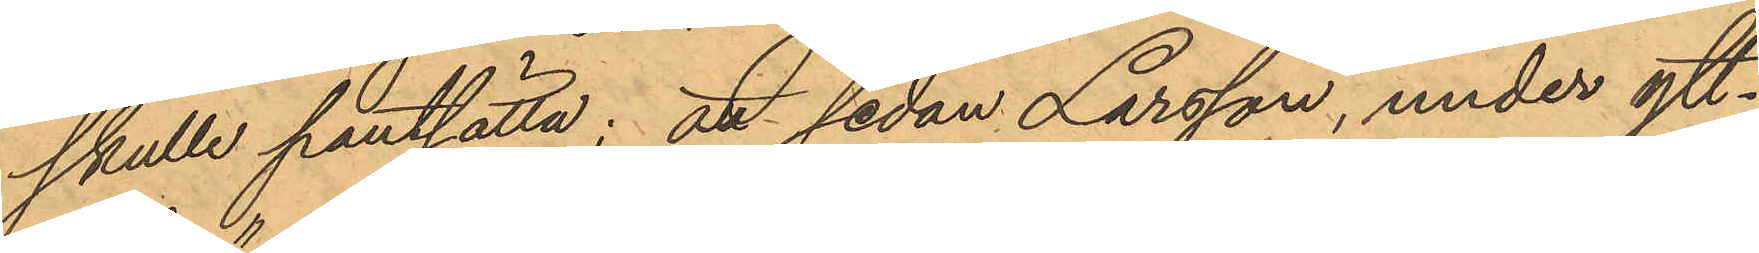skulle pantsätta; att sedan Larsson, under ytt¬
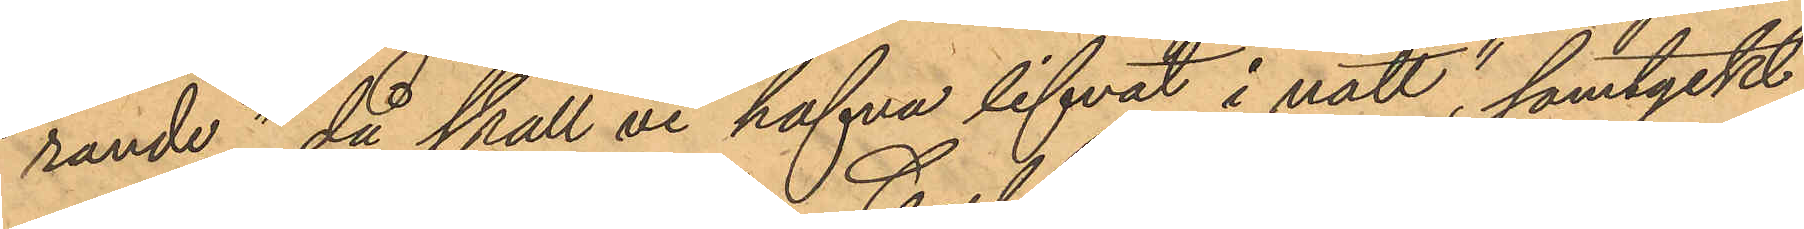rande, "då skall vi hafva lifvat i natt,"  samtyckt
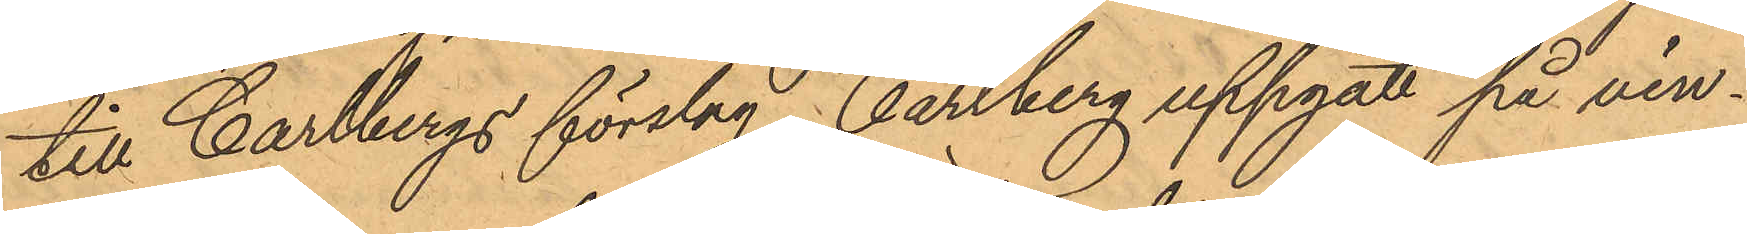till Carlbergs förslag, Carlberg uppgått på vin¬
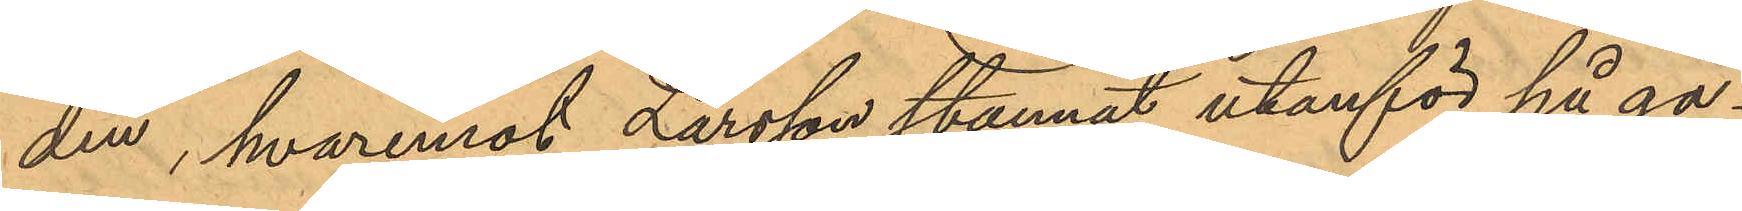den, hvaremot Larsson stannat utanför på ga¬
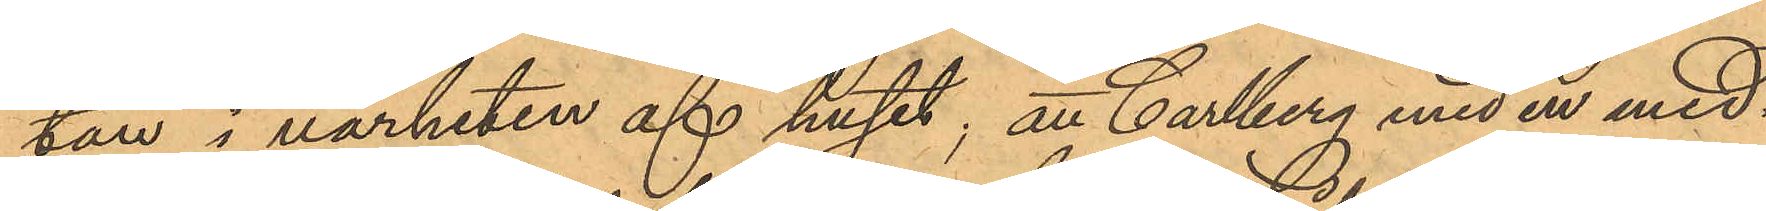tan i närheten af huset; att Carlberg med en med¬
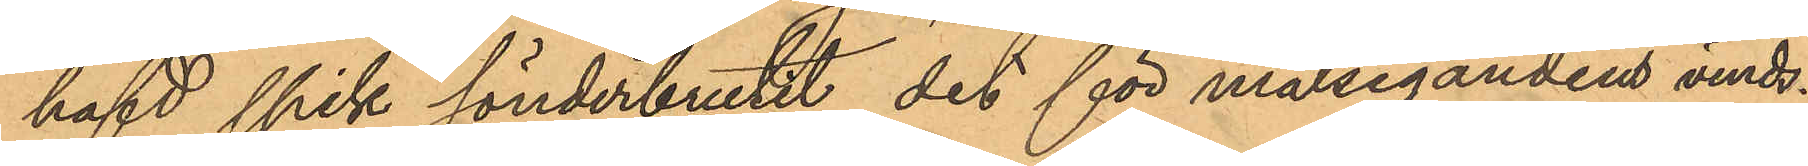hafd spik sönderbrutit det för målsegandens vinds¬
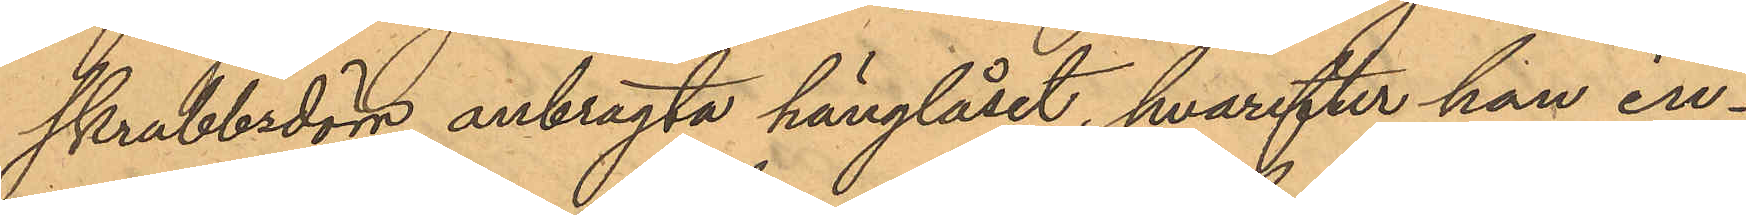skrubbsdörr anbragta hänglåset, hvarefter han in¬
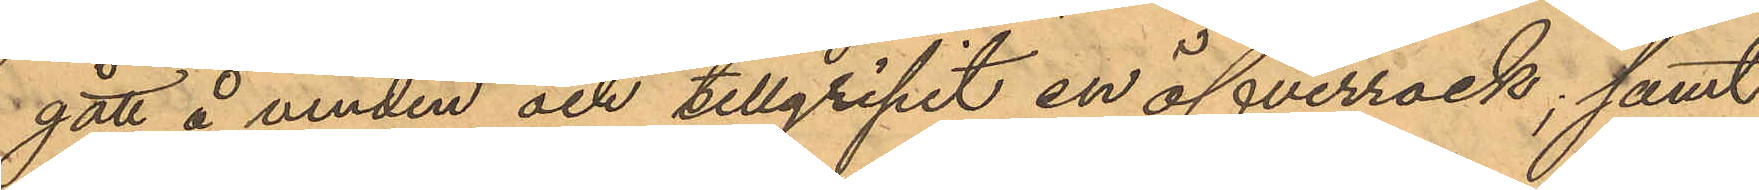gått å vinden och tillgripit en öfverrock; samt
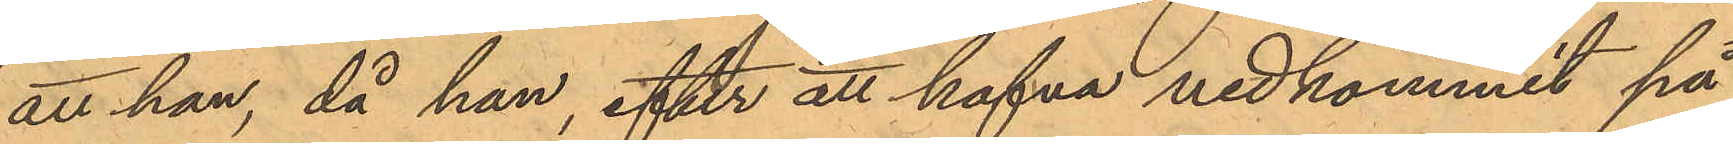att han, då han, efter att hafva nedkommit på
